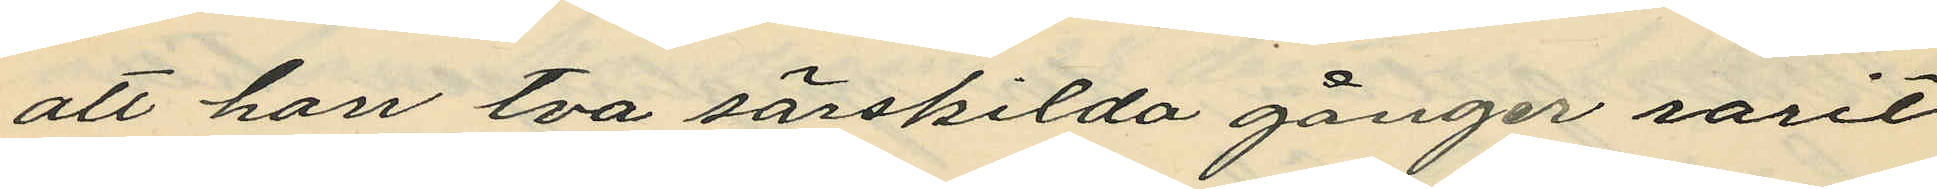att han tva särskilda gånger varit
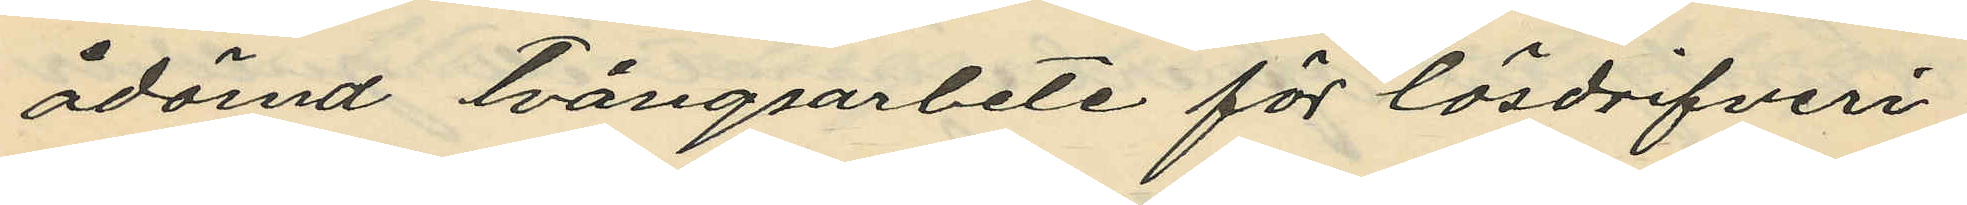ådömd tvångsarbete för lösdrifveri;
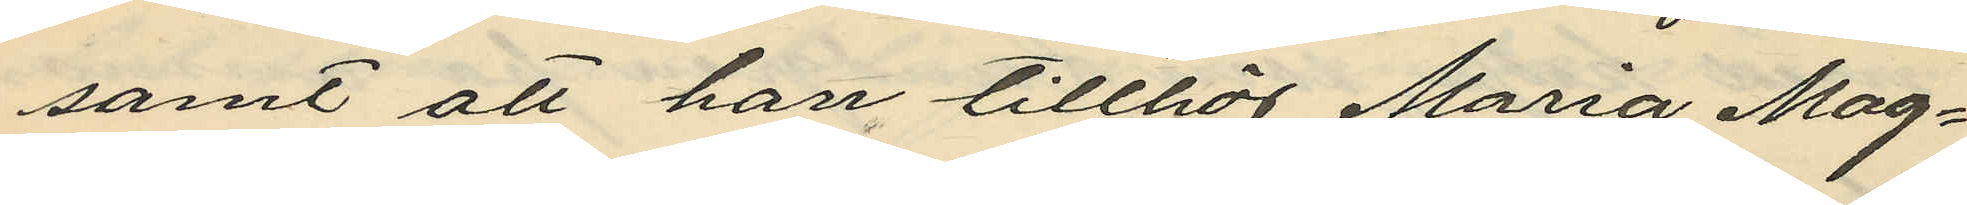samt att han tillhör Maria Mag¬
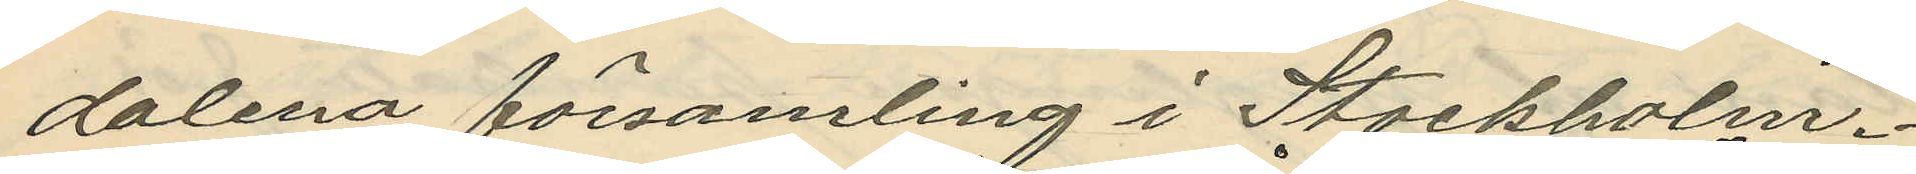dalena församling i Stockholm.
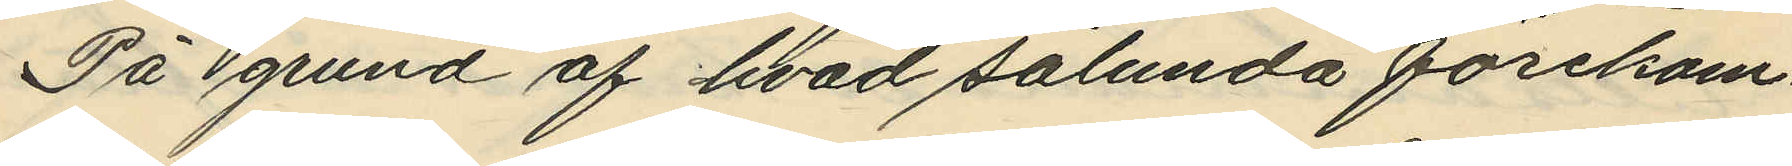På grund af hvad sålunda förekom¬
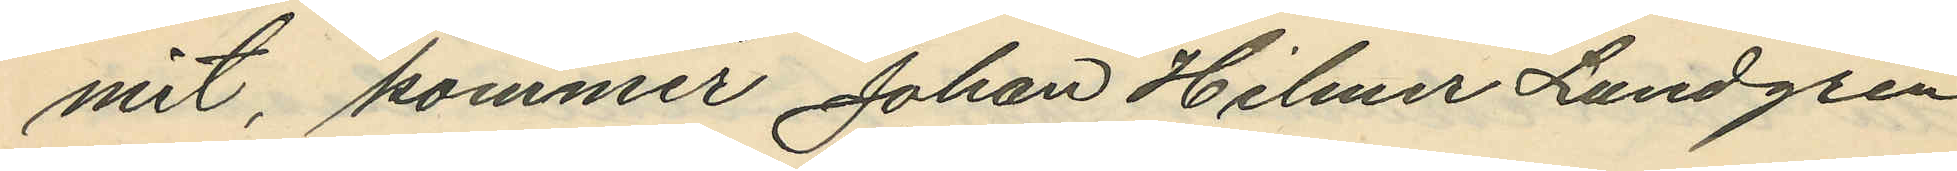mit, kommer Johan Hilmer Lundgren
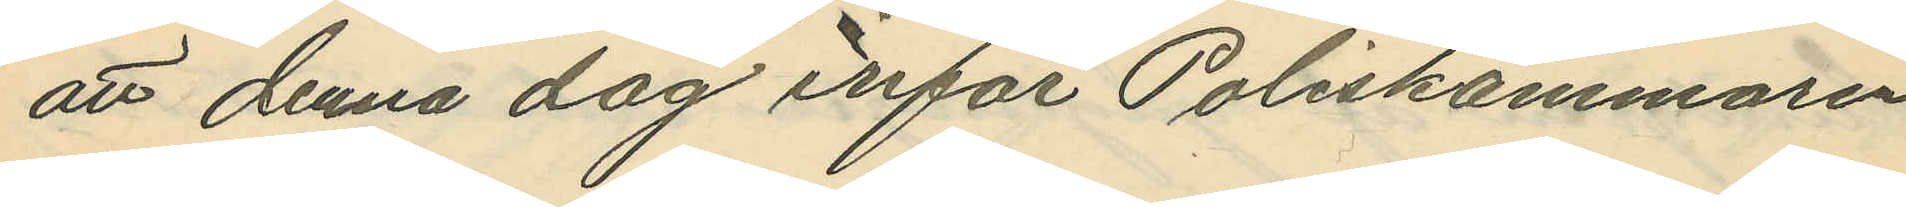att denna dag inför Poliskammaren
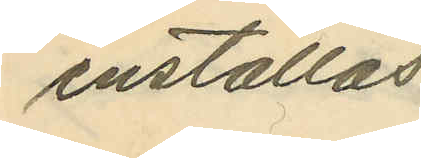inställas.
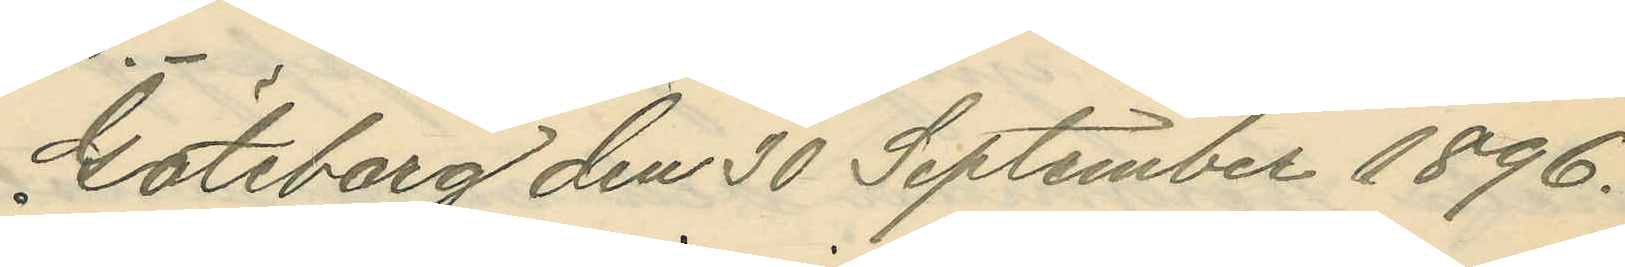Göteborg den 30 September 1896.
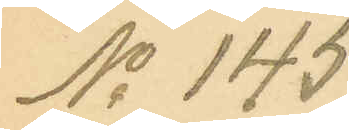No 145.
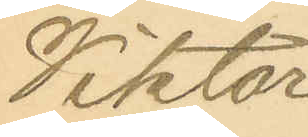Viktor
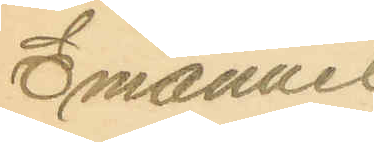Emanuel
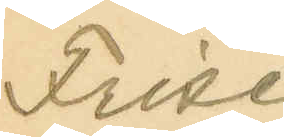Frise.
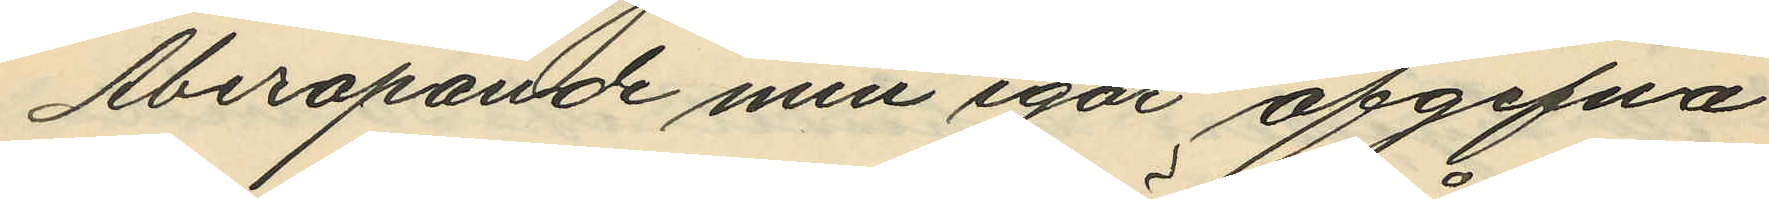Åberopande min igår afgifna
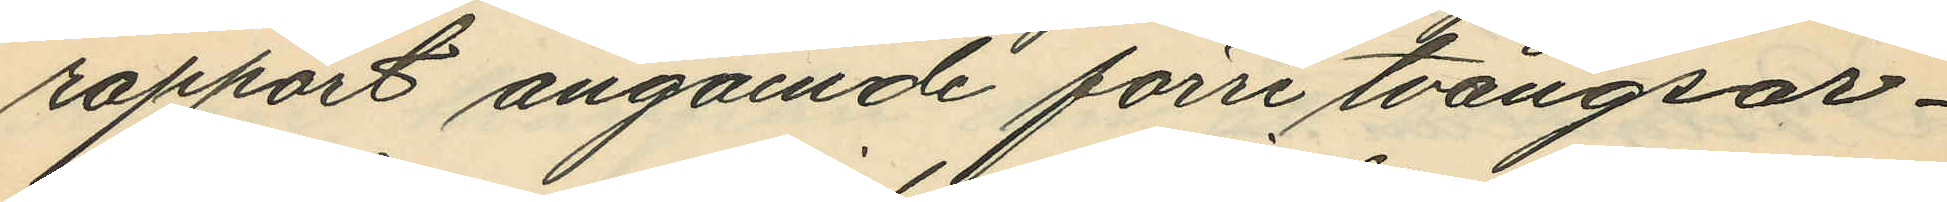rapport angående förre tvångsar¬
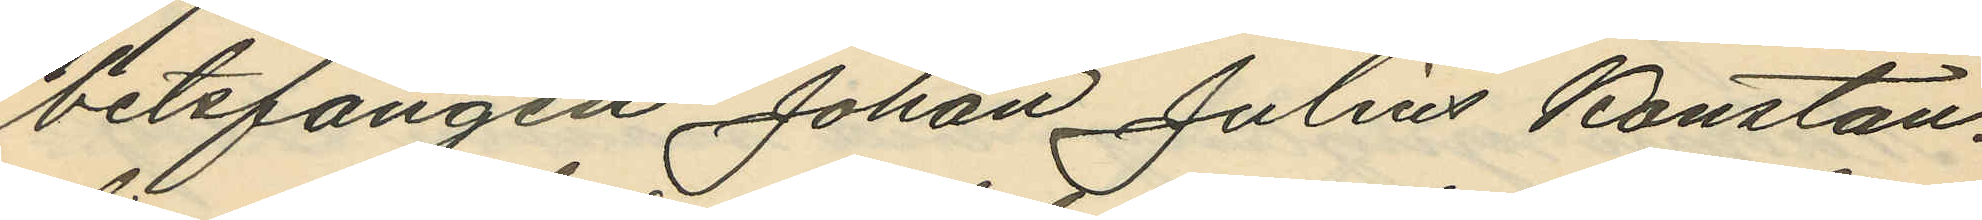betsfången Johan Julius Konstan¬
